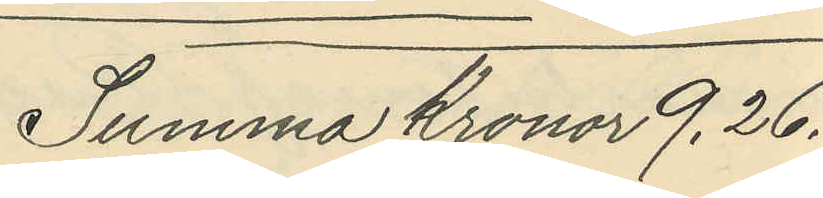Summa Kronor 9.26.
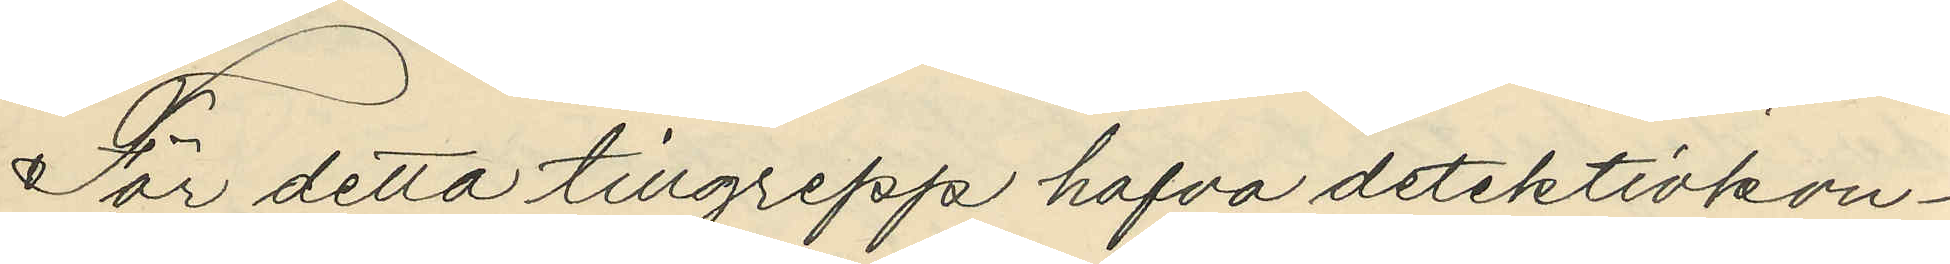För detta tillgrepp hafva detektivkon¬
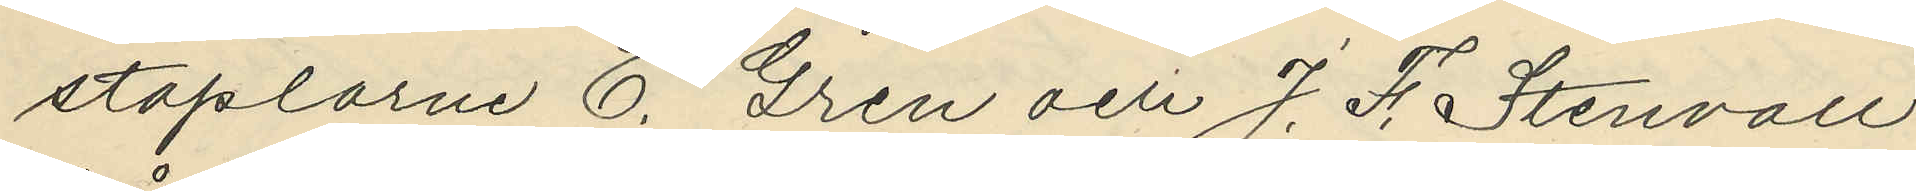staplarne E. Gren och J. F. Stenvall
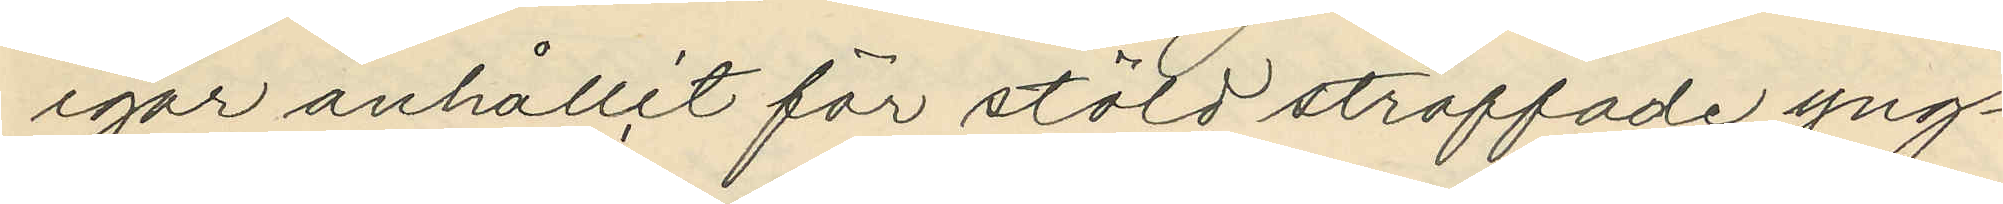igår anhållit för stöld straffade yng¬
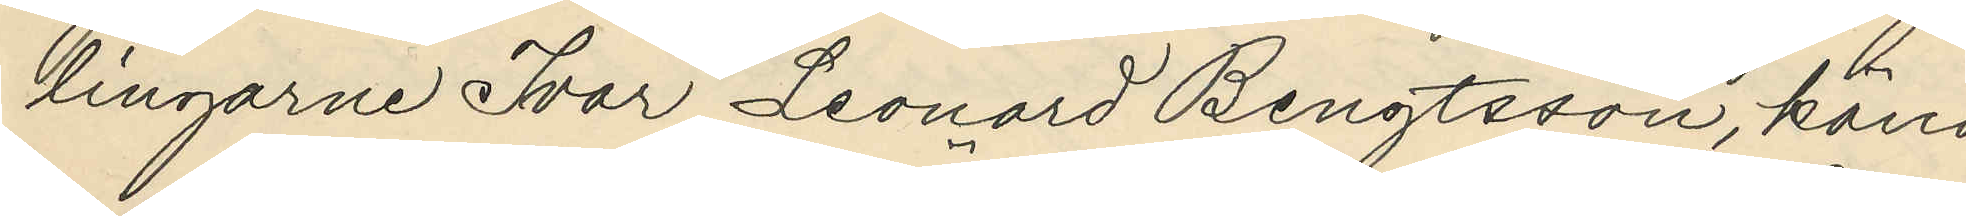lingarne Ivar Leonard Bengtsson, känd
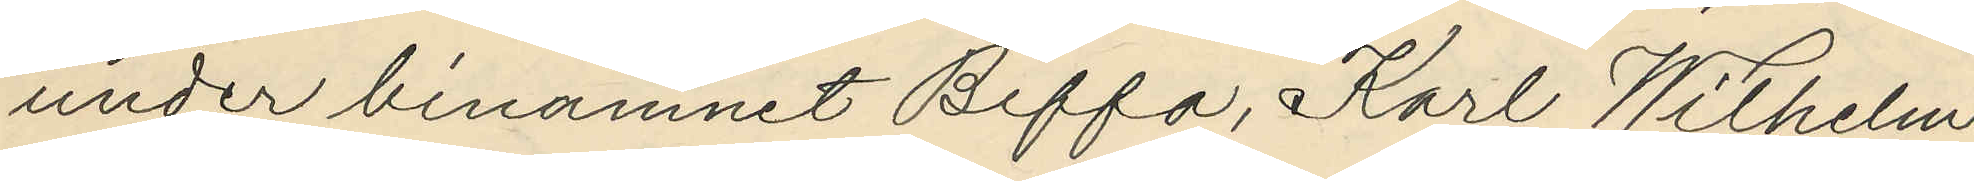under binamnet "Biffa", Karl Wilhelm
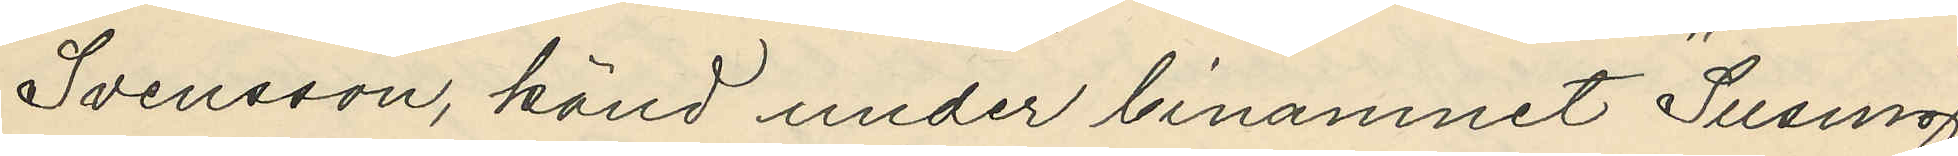Svensson, känd under binamnet "Susing",
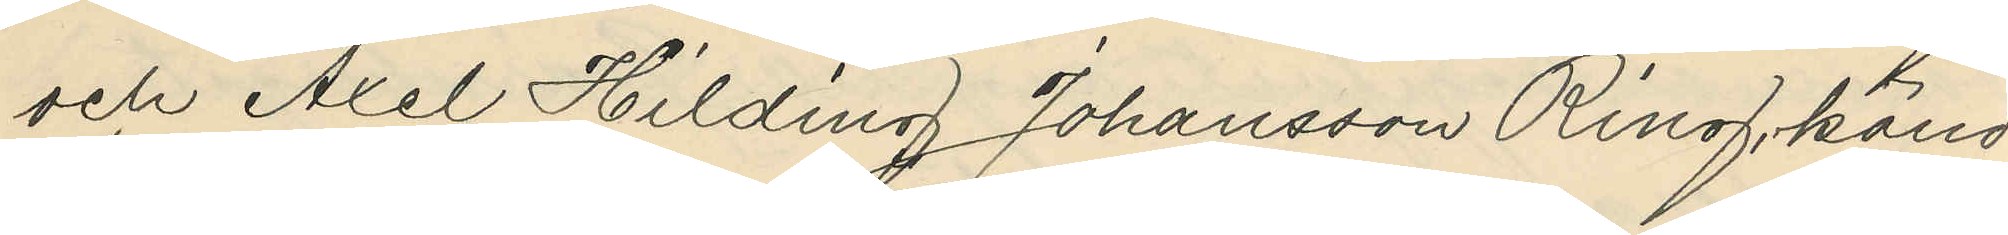och Axel Hilding Johansson Ring, känd
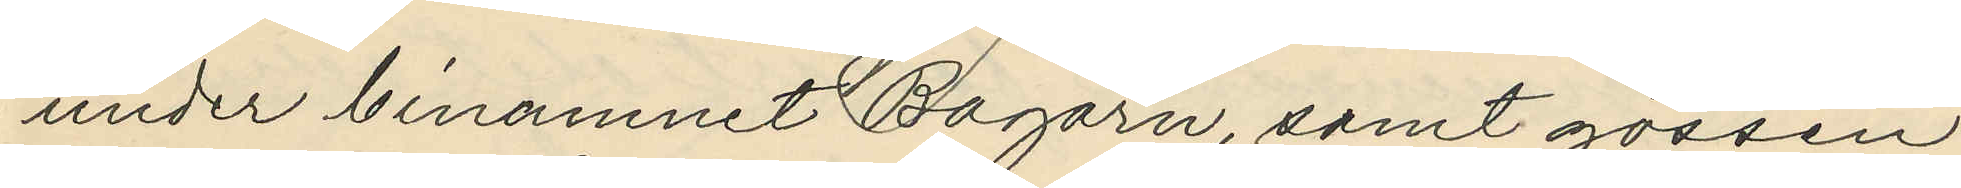under binamnet "Bagarn", samt gossen
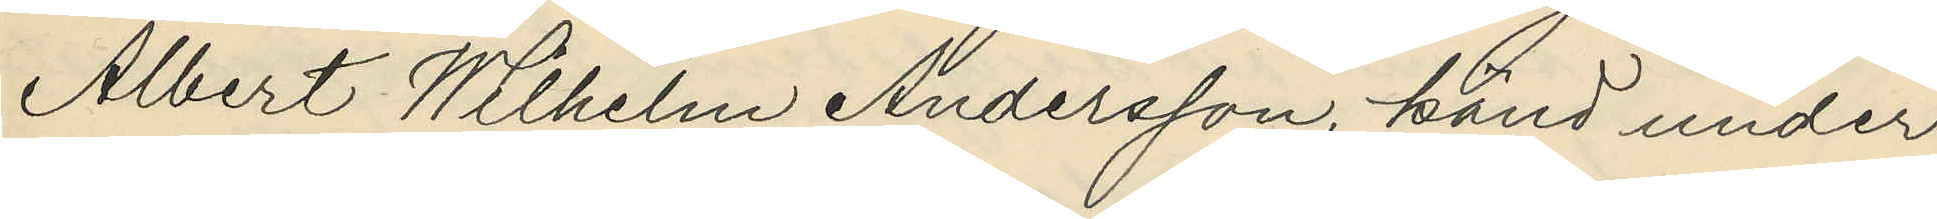Albert Wilhelm Andersson, känd under 
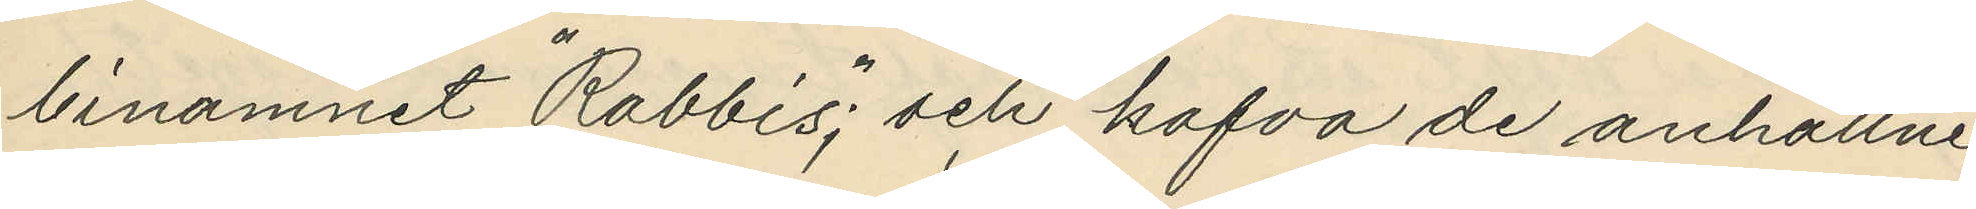binamnet "Rabbis"; och hafva de anhållne
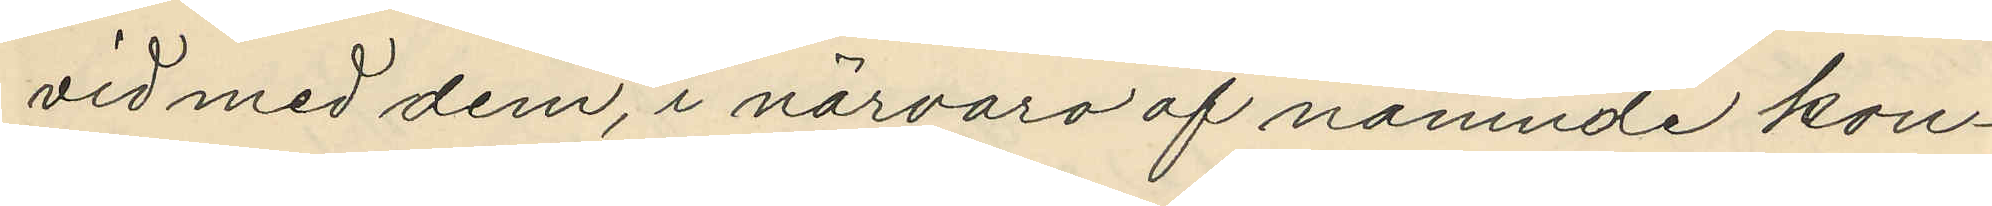vid med dem, i närvaro af nämnde kon¬
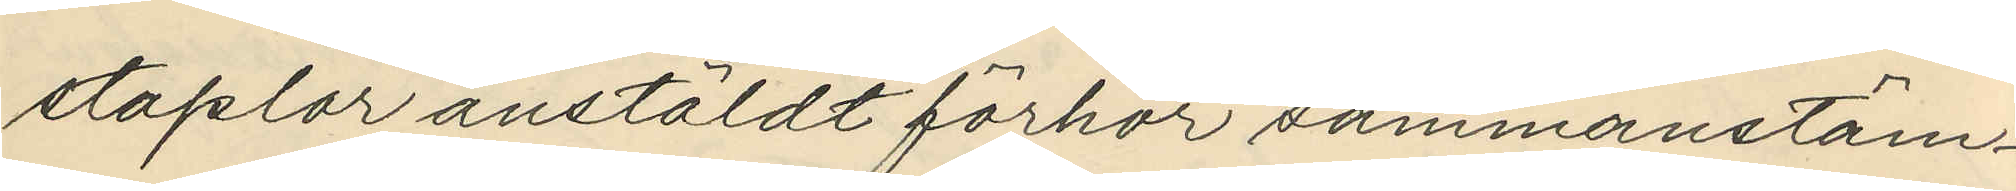staplar anstäldt förhör sammanstäm¬
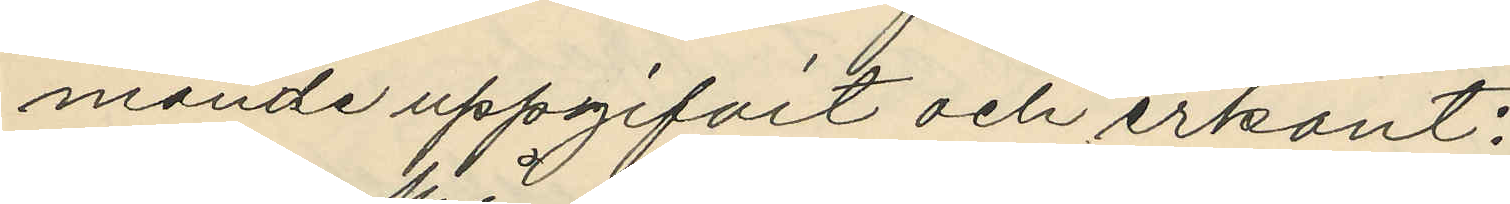mande uppgifvit och erkänt:
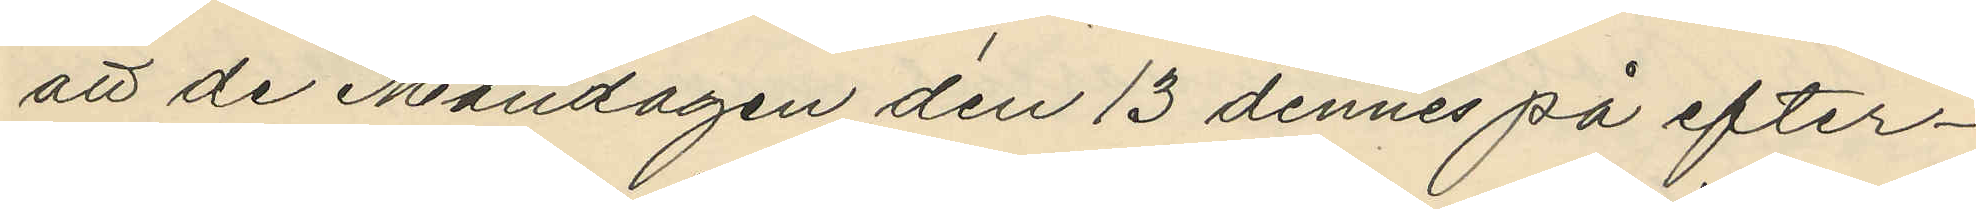att de Måndagen den 13 dennes på efter¬
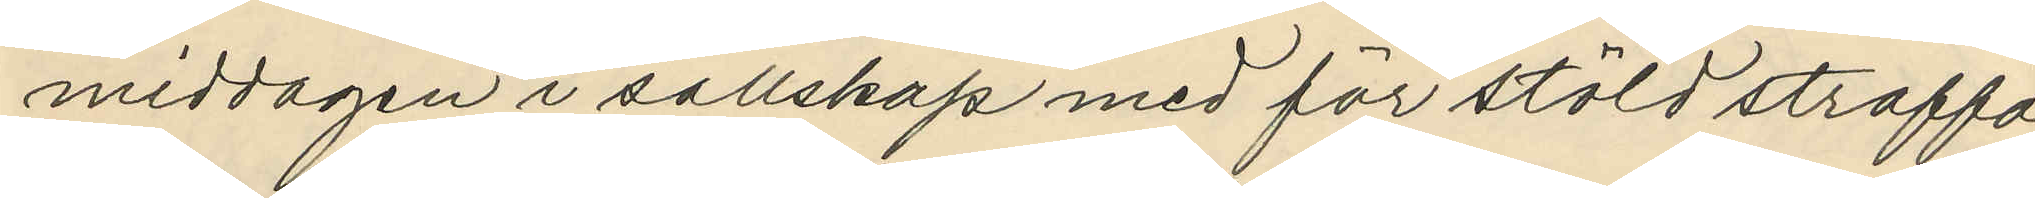middagen i sällskap med för stöld straffa¬
